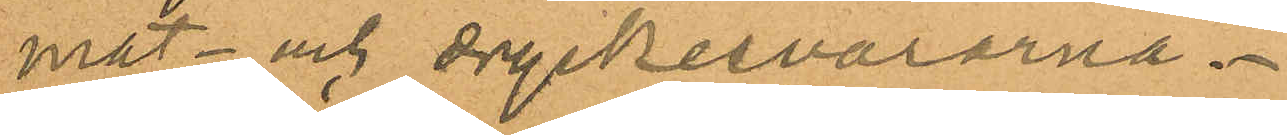mat- och dryckesvarorna.
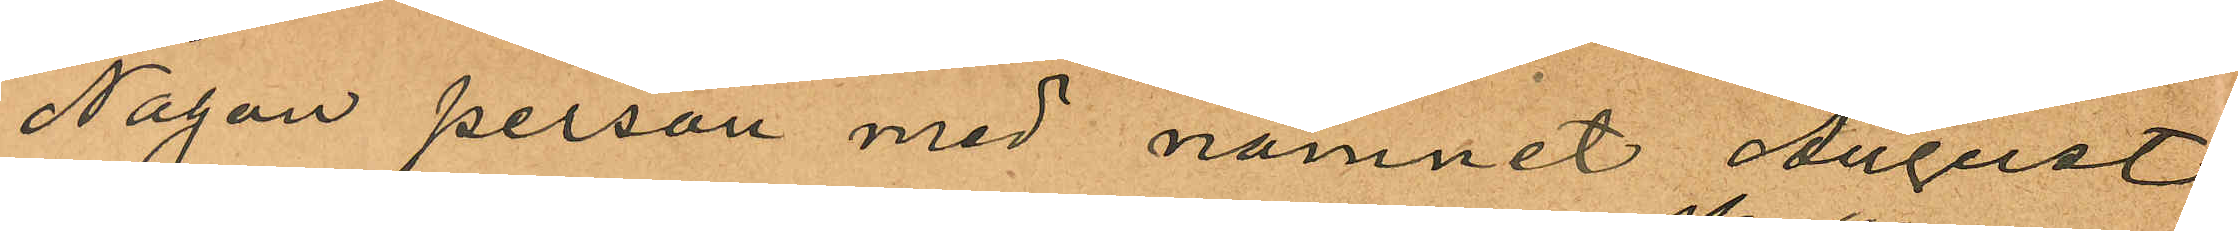Någon person med namnet August
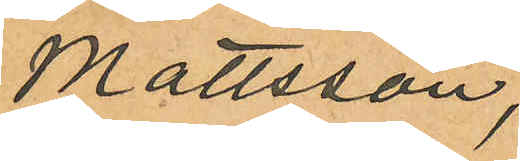Mattsson,
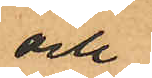och
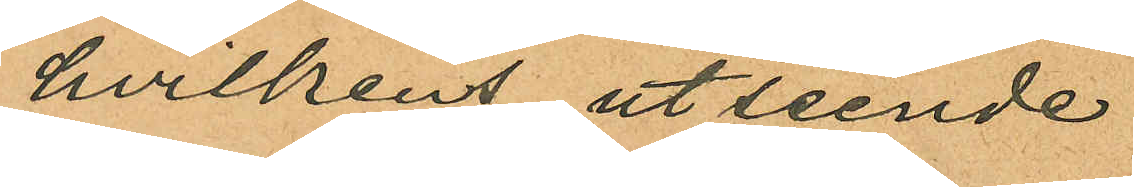hvilkens utseende
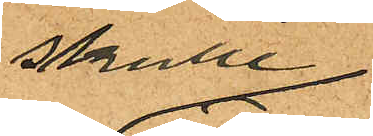skulle
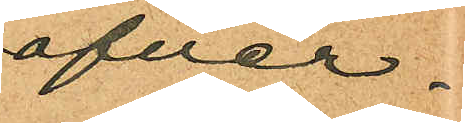öfver¬
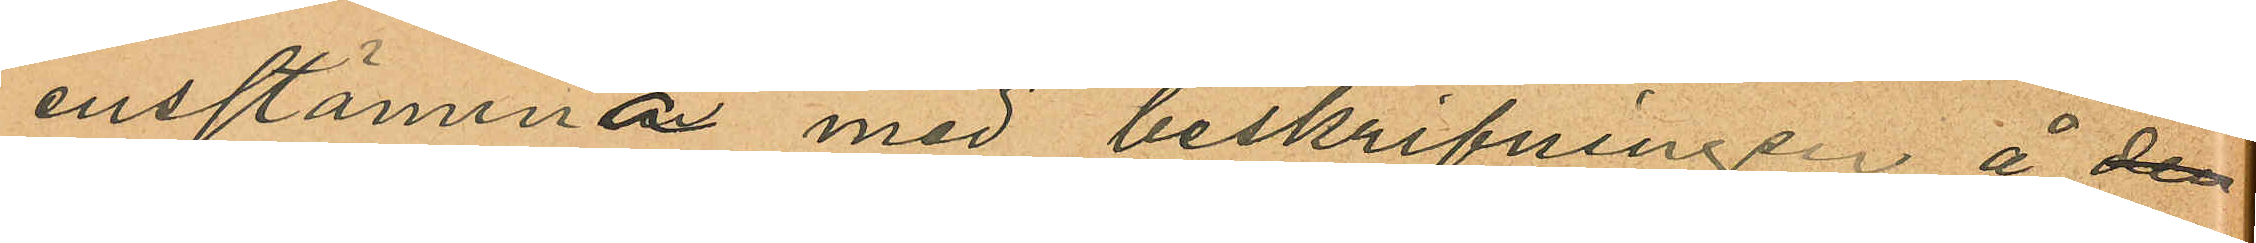ensstämma med beskrifningen å den
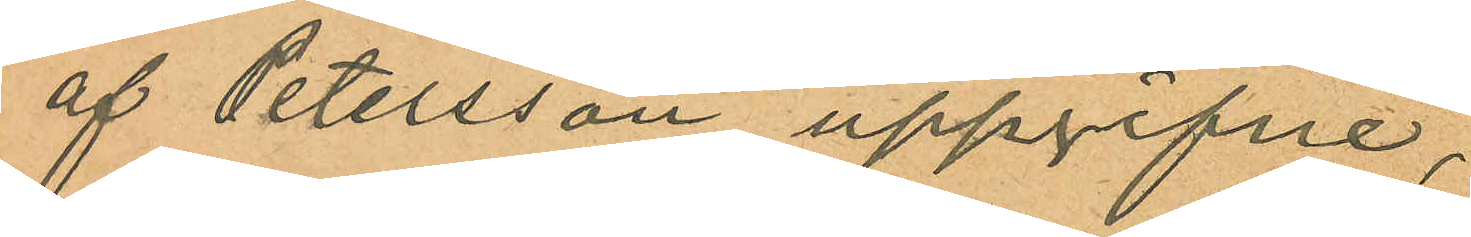af Petersson uppgifne,
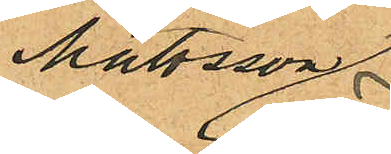Mattsson
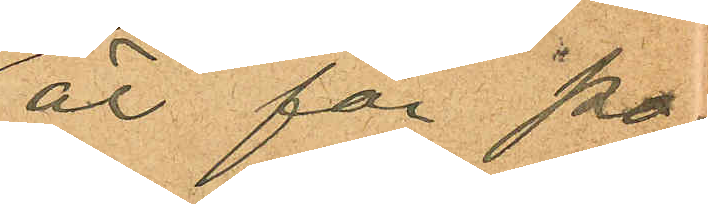är för po¬
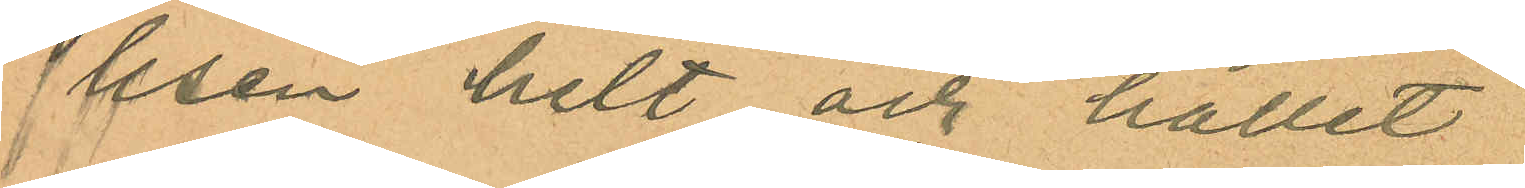lisen helt och hållet
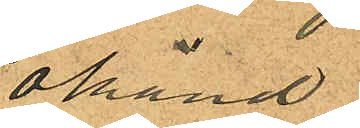okänd
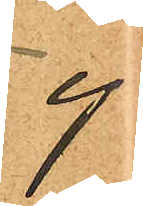ej
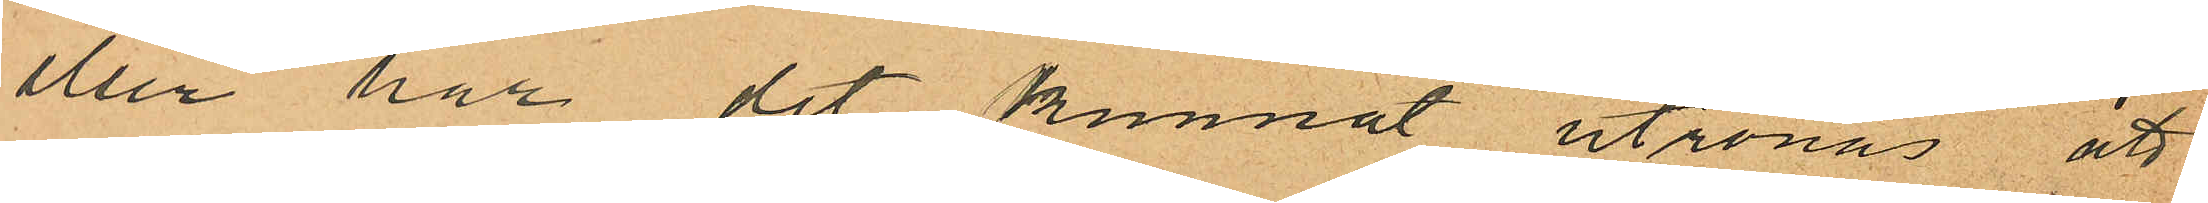eller har det kunnat utrönas att
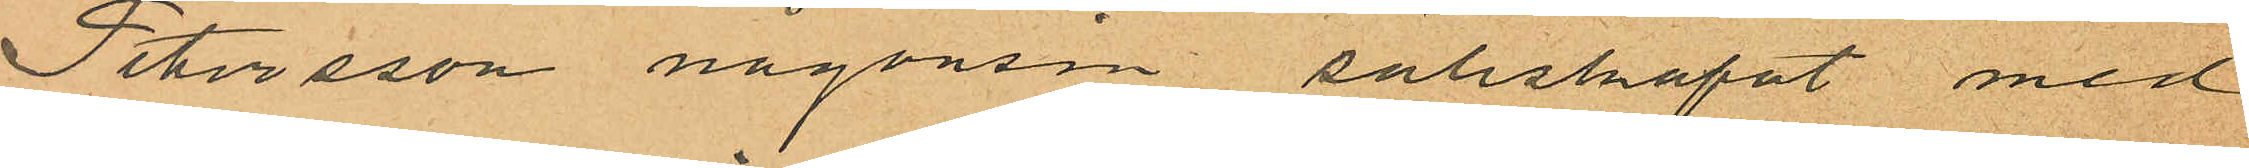Petersson någonsin sällskapat med
